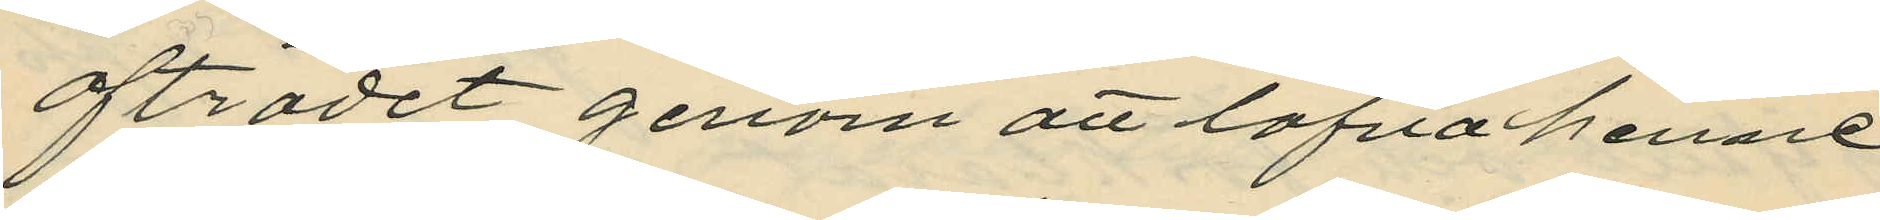afträdet genom att lofva henne
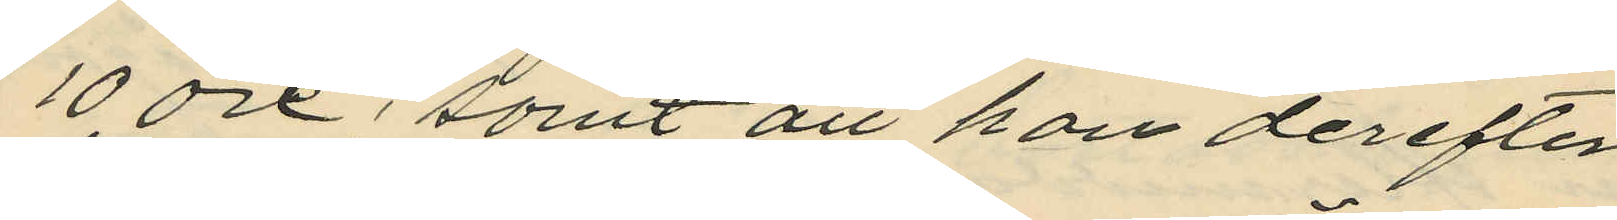10 öre; samt att han derefter
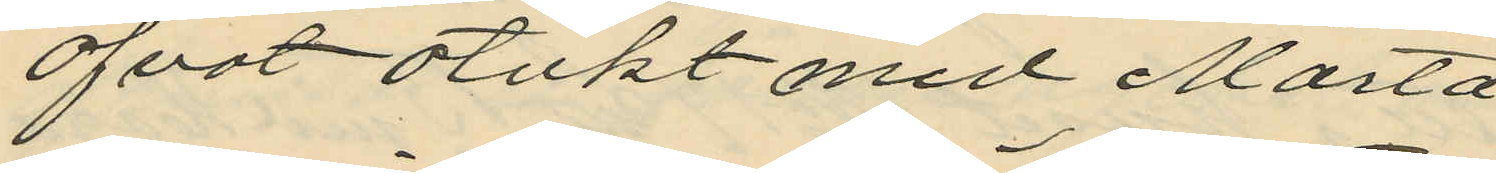öfvat otukt med Märta
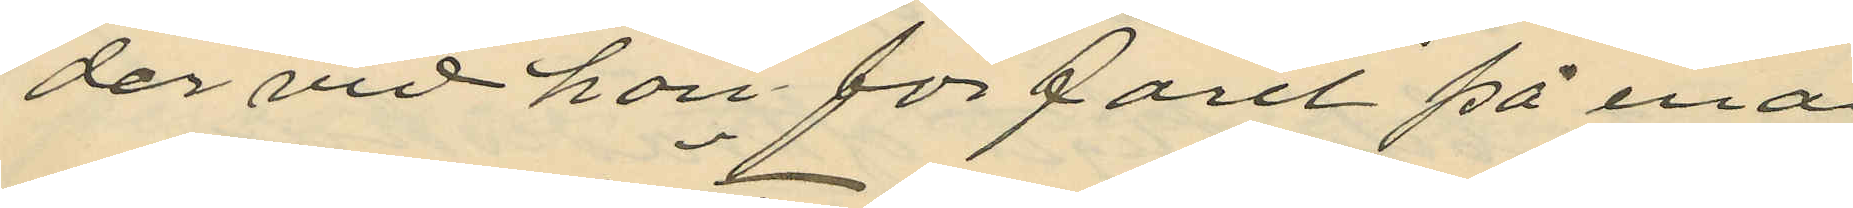der vid han förfarit på ena
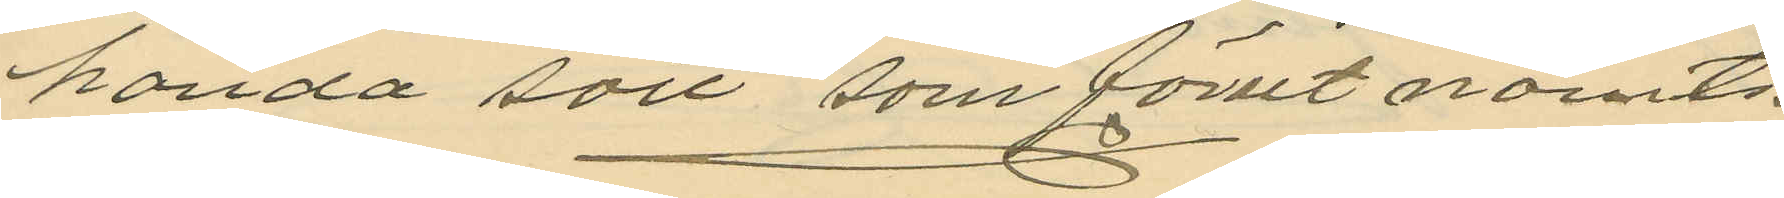handa sätt som förut nämts.
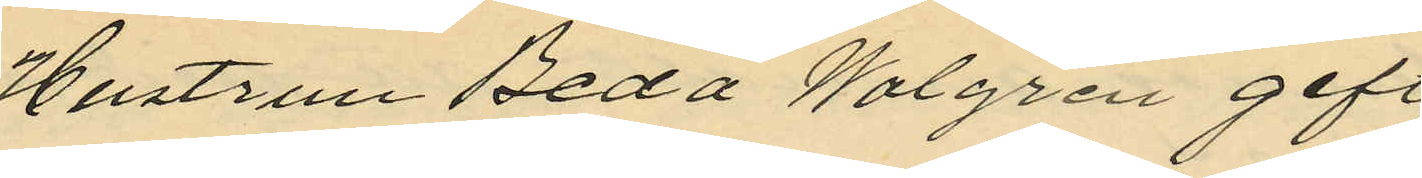Hustrun Beda Walgren gift
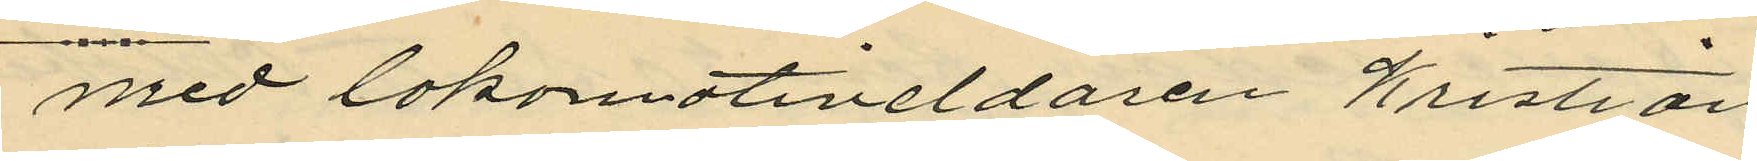med lokomotiveldaren Kristian
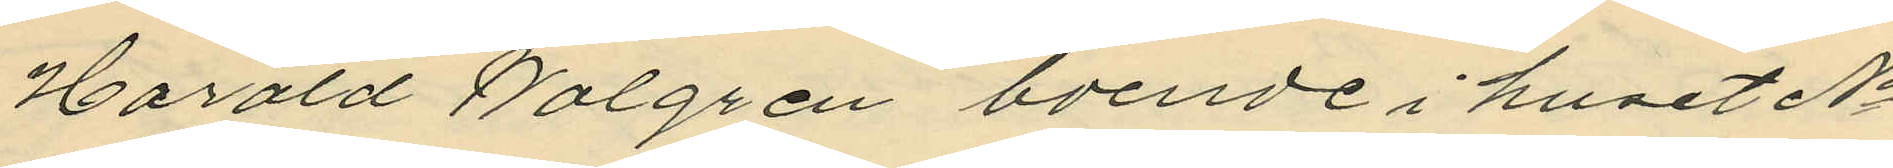Harald Walgren boende i huset No
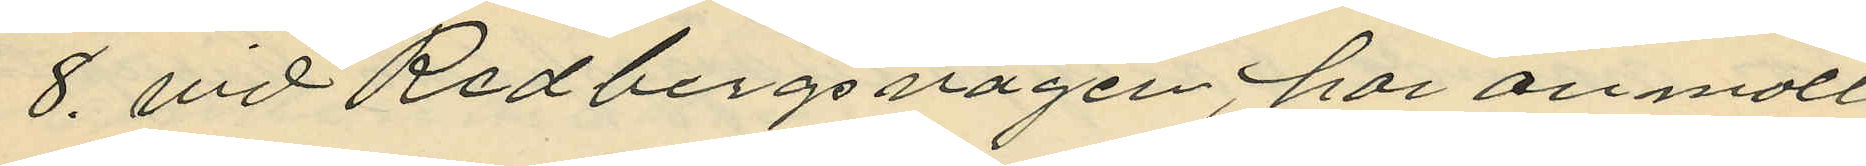8. vid Redbergsvägen, har anmält
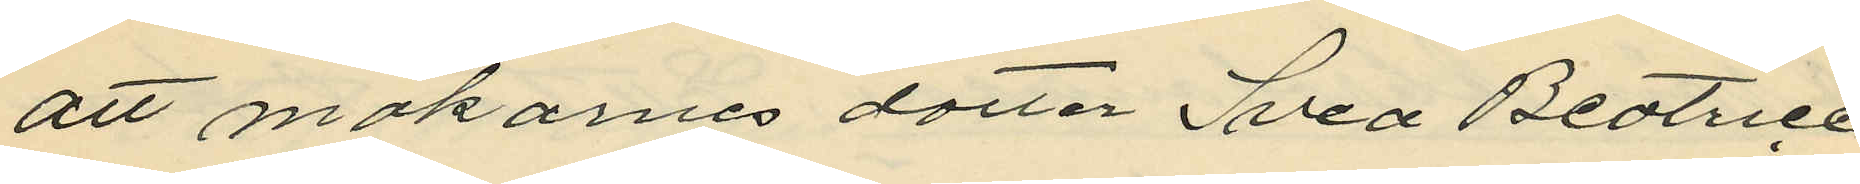att makarnes dotter Svea Beatrice
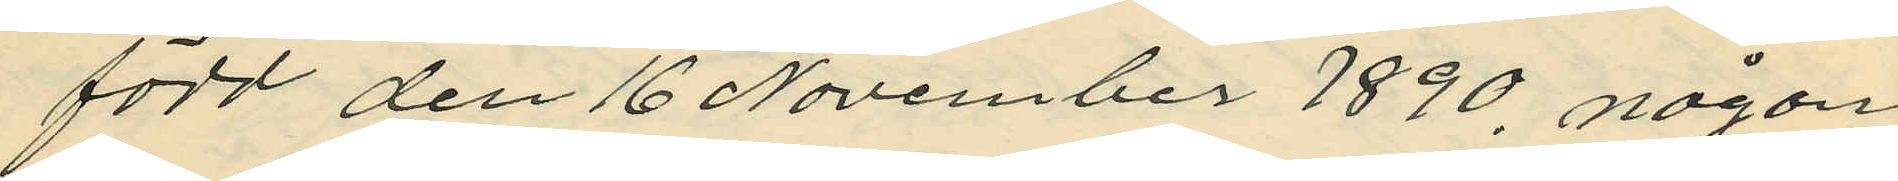född den 16 November 1890, någon
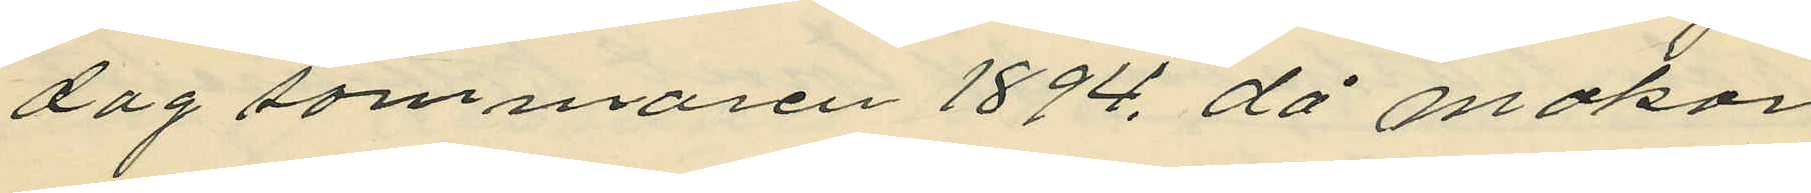dag sommaren 1894, då makar¬
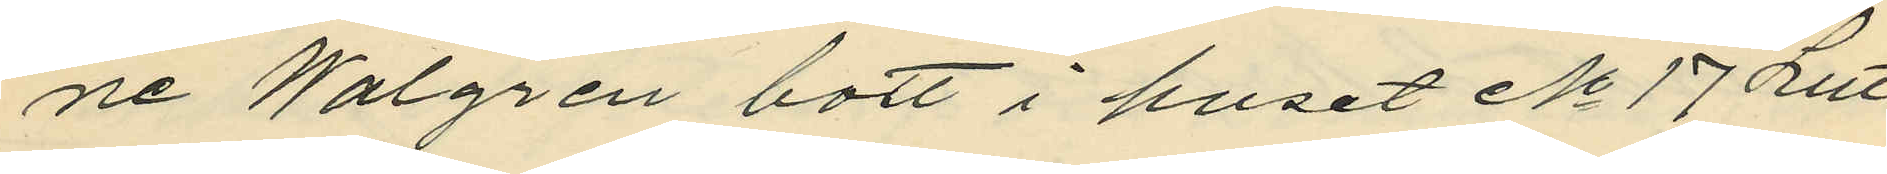ne Walgren bott i huset No 17 Litt
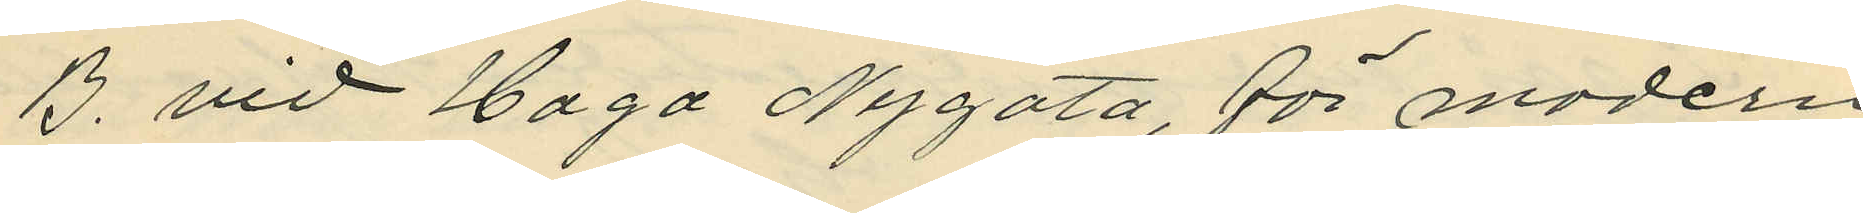B. vid Haga Nygata, för modern
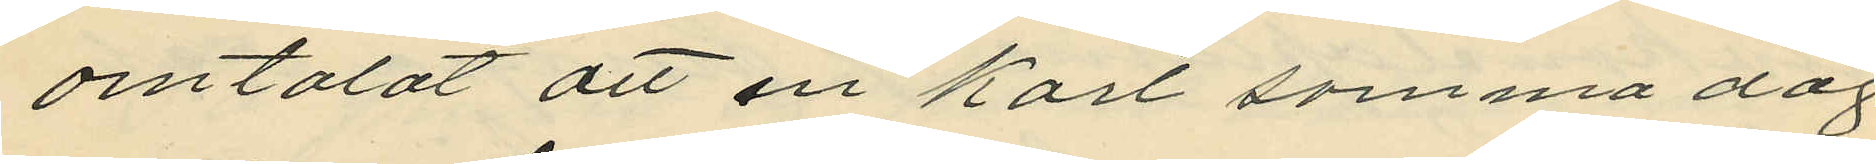omtalat att en Karl samma dag
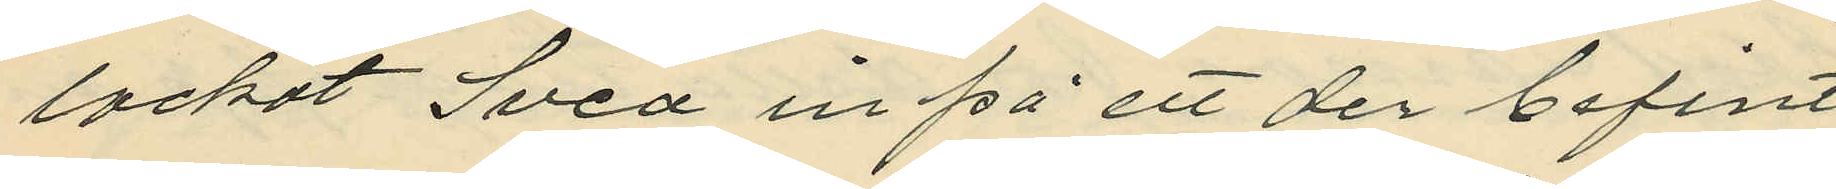lockat Svea in på ett der befint
